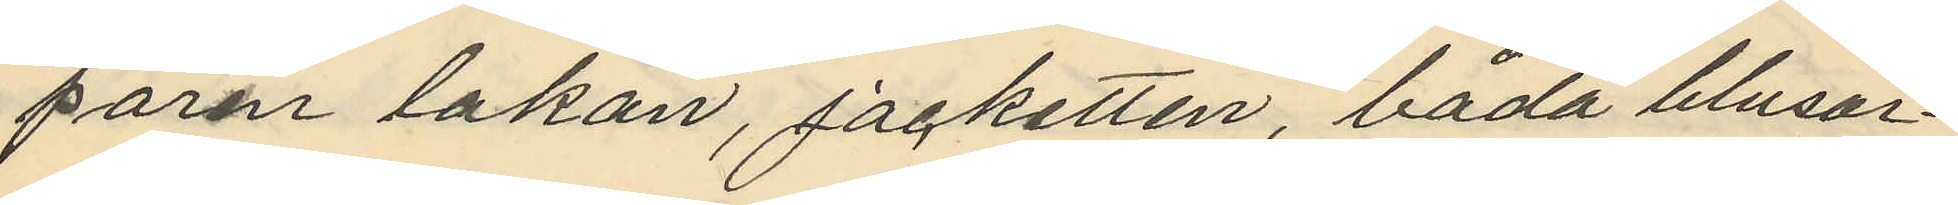paren lakan, jacketten, båda blusar¬
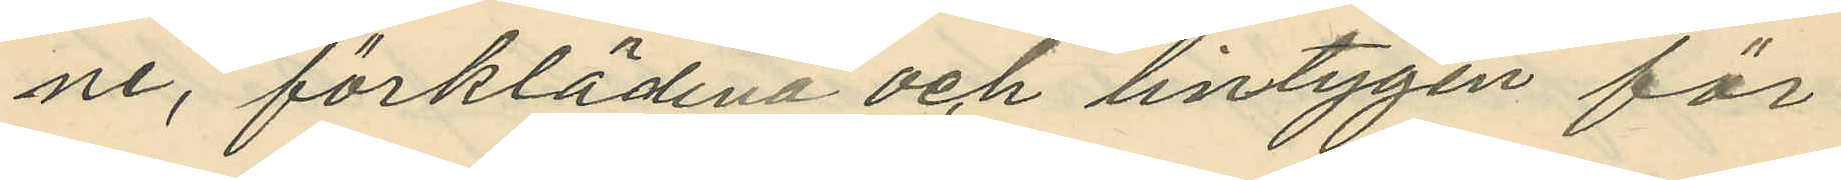ne, förklädena och lintygen för
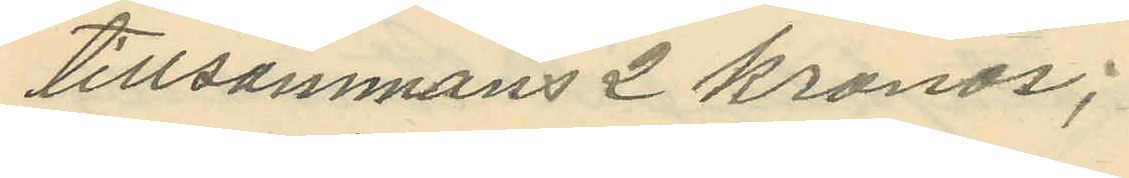tillsammans 2 kronor;
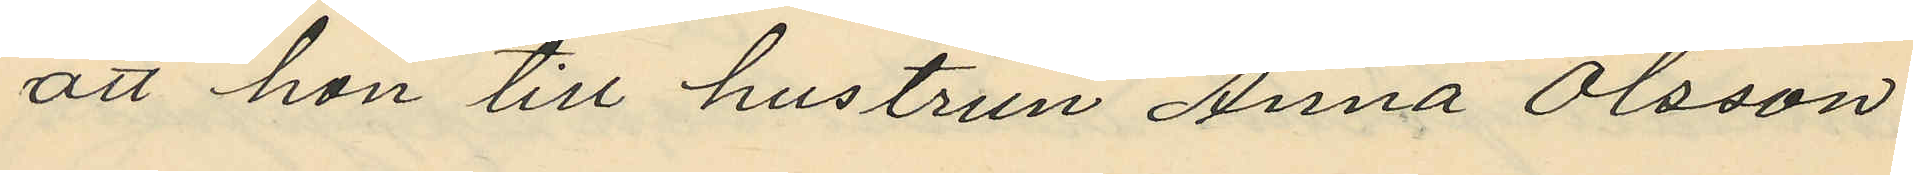att hon till hustrun Anna Olsson
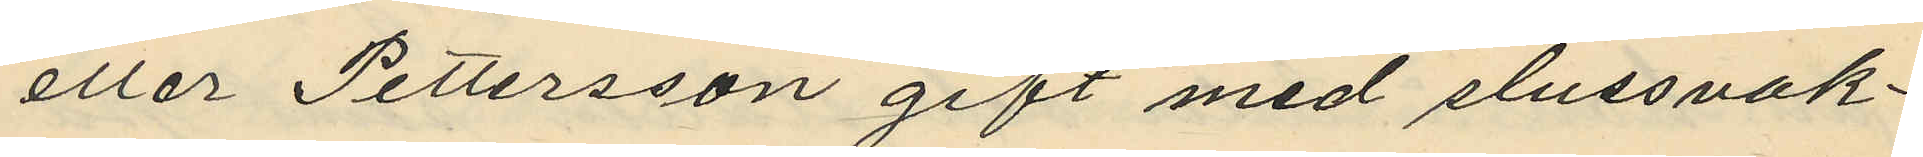eller Pettersson gift med slussvak¬
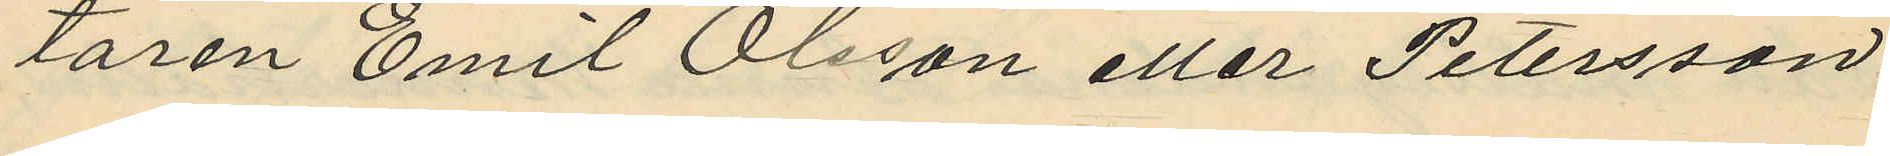taren Emil Olsson eller Petersson
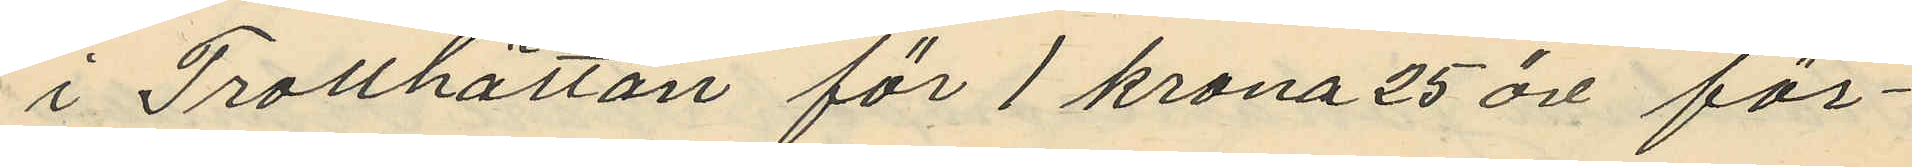i Trotthättan för 1 krona 25 öre för¬
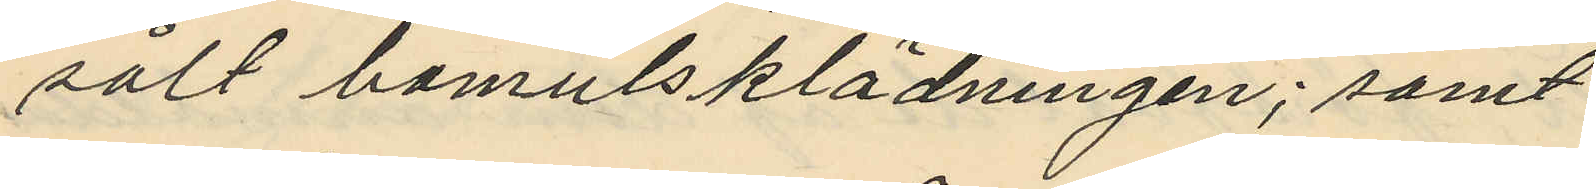sålt bomulsklädningen; samt
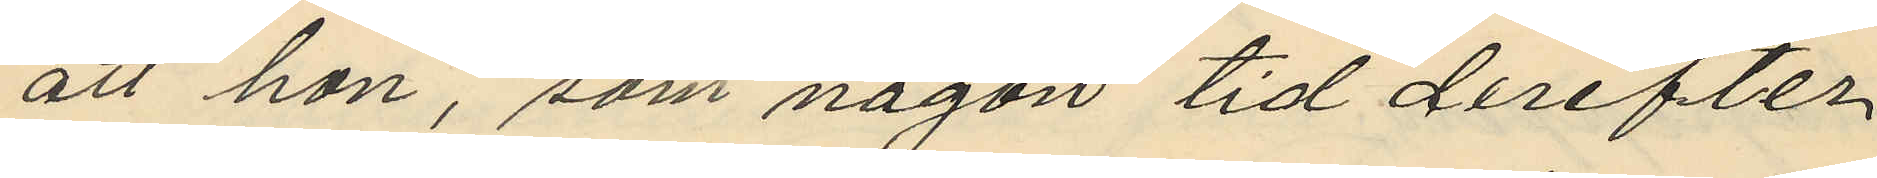att hon, som någon tid derefter
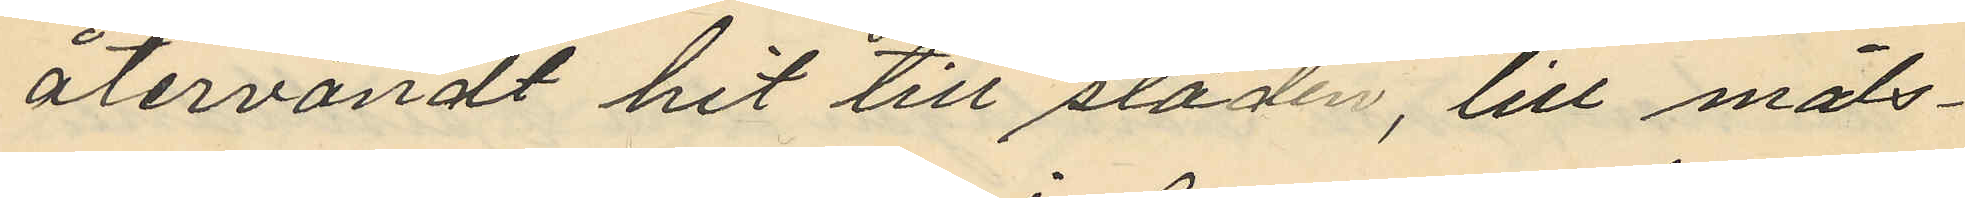återvändt hit till staden, till måls¬
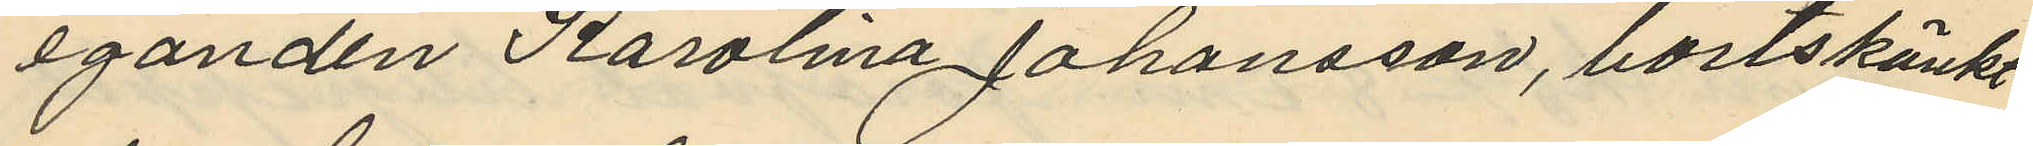eganden Karolina Johansson, bortskänkt
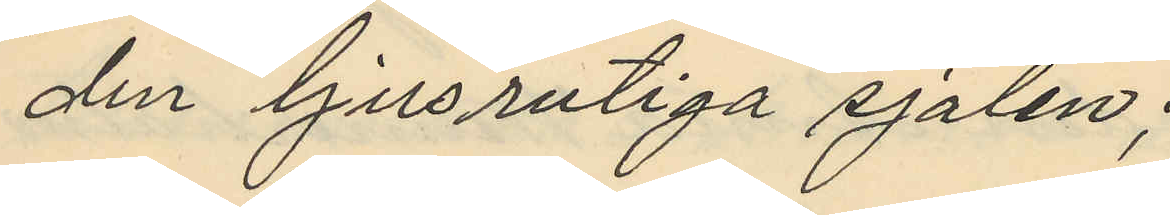den ljusrutiga sjalen;
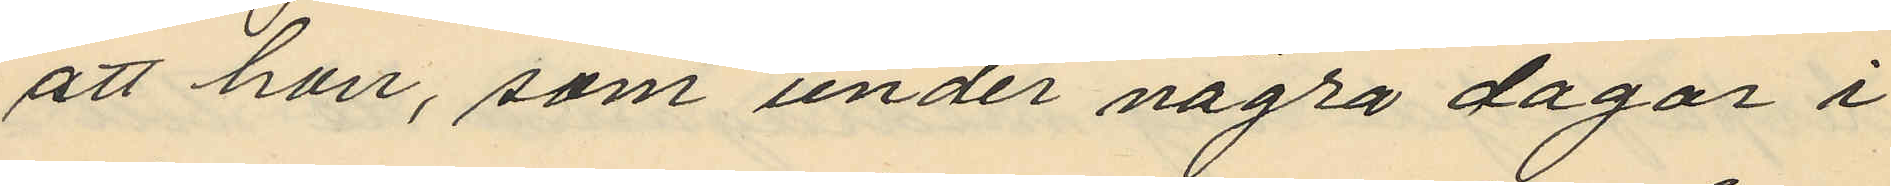att hon, som under några dagar i
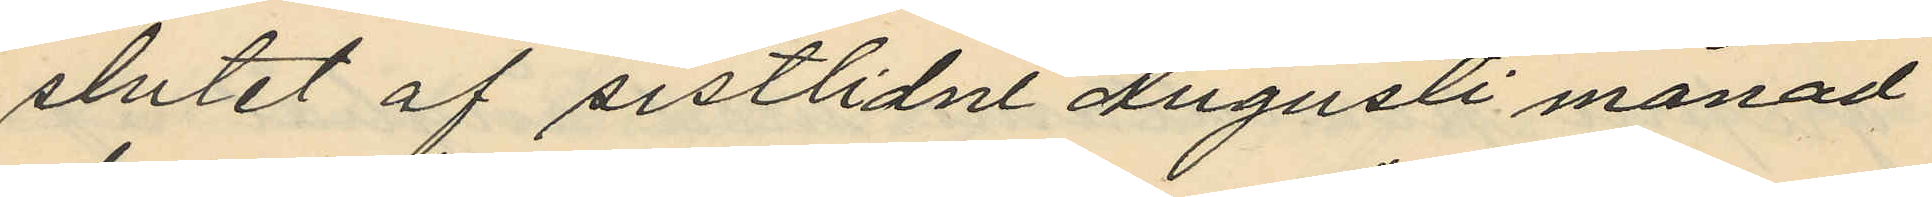slutet af sistlidne Augusti månad
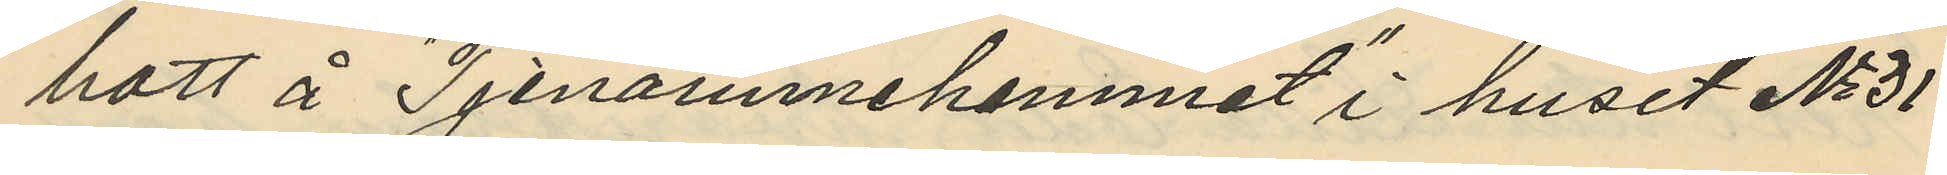bott å Tjenarinnehemmet i huset No 31
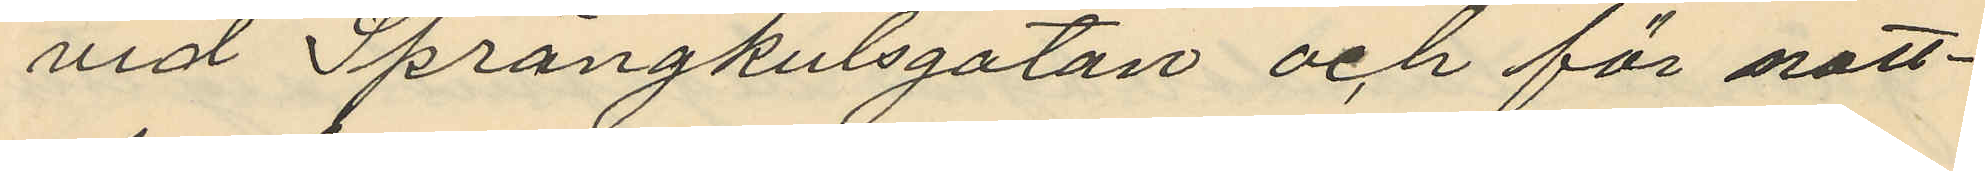vid Sprängkulsgatan och för natt¬
